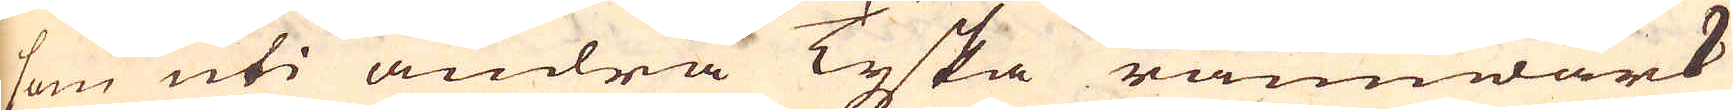som uti andra Tyska rämwärk
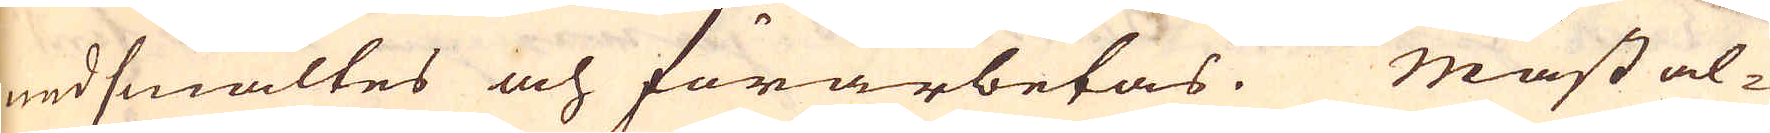nedsmältes och förarbetas. Mäst al-
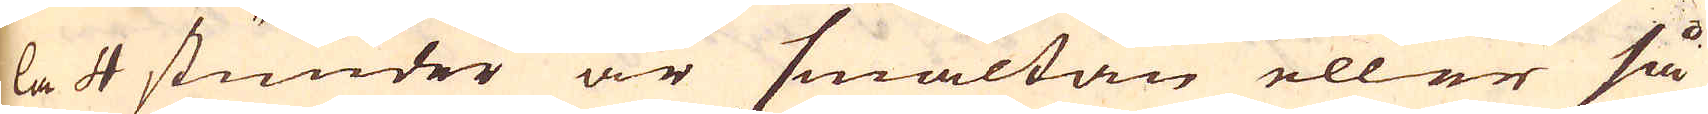la 4 stunder är smältan eller så
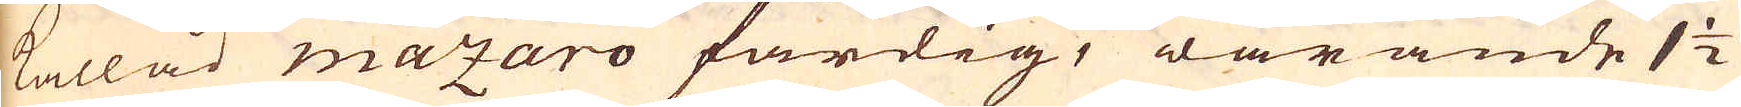kallad mazaro färdig, warande 1 1/2
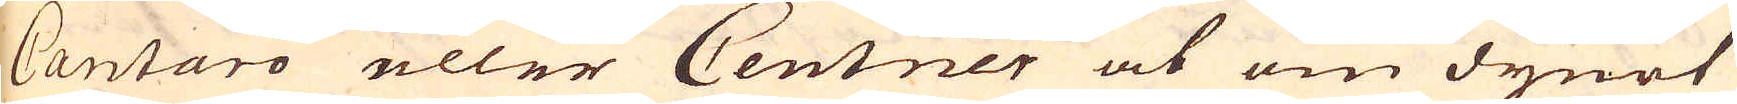Cantaro eller Centner at om dynet
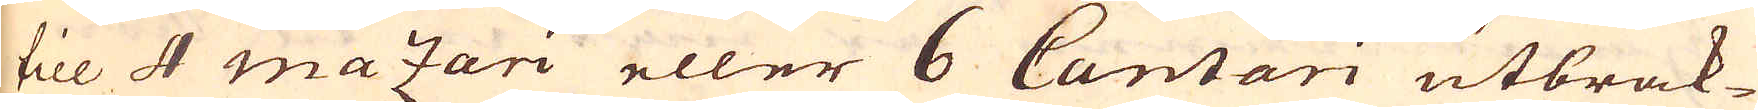till 4 mazari eller 6 Cantari utbrak-
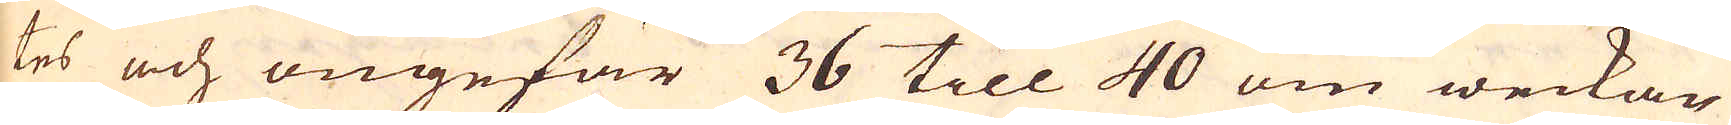tes och ungefär 36 till 40 om weckan
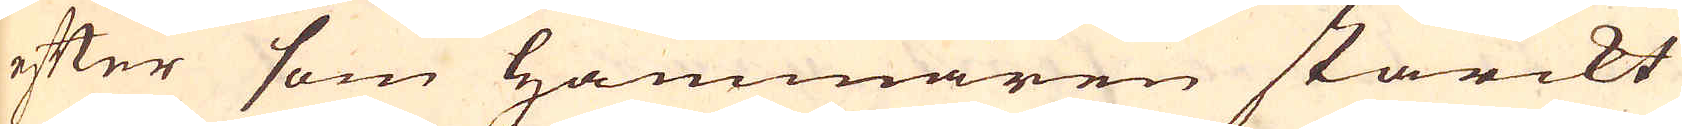efter som Hammaren starckt
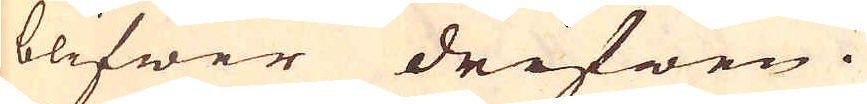blifwer drifwen.
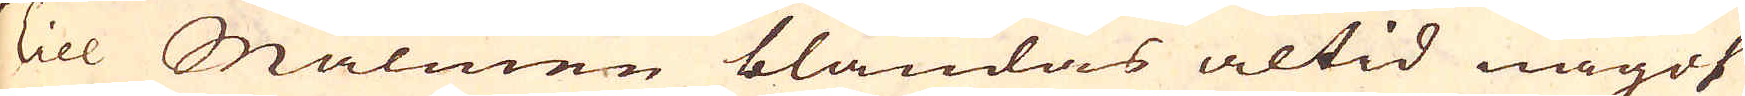Till Malmen blandas altid något
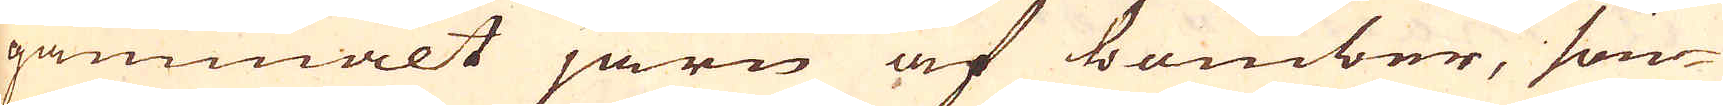gammalt järn af bomber, förr
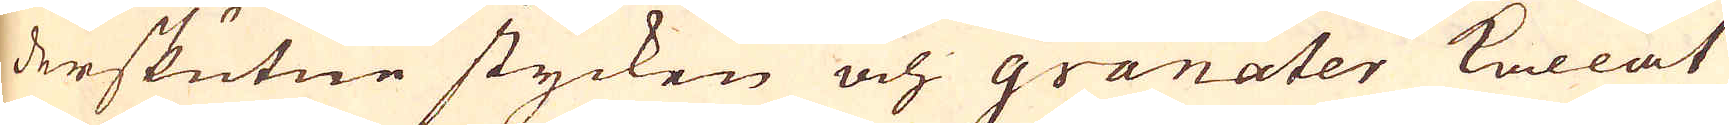derskutne stycken och granater kallat
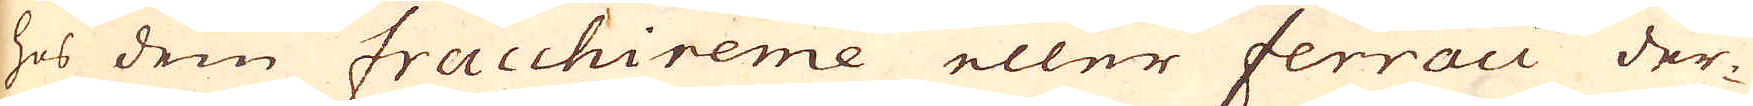hos dem Fracchireme eller ferraci der-
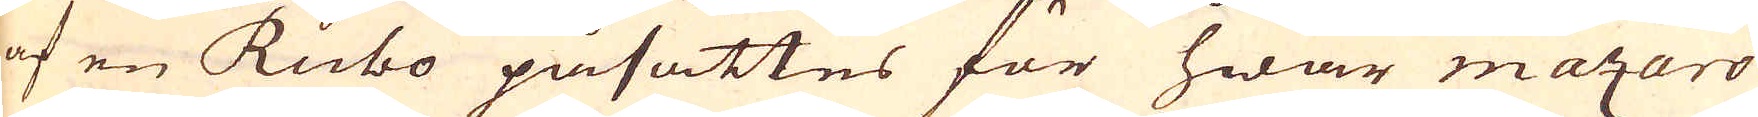af en Rubo påsättes för hwar mazaro
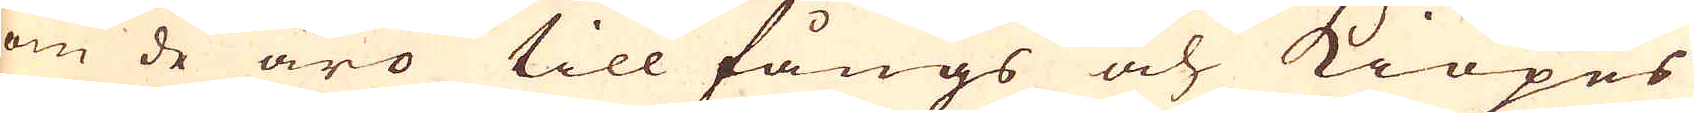om de äro till fångs och kiöpes
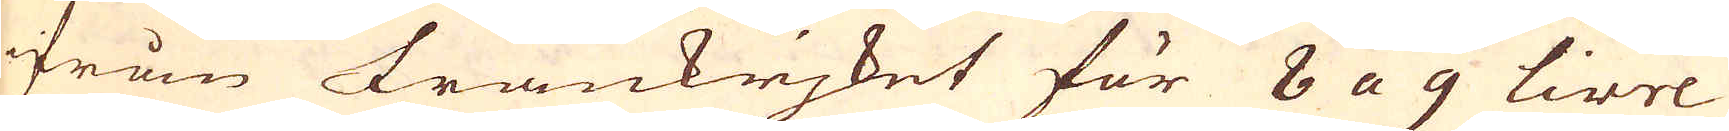ifrån Frankrjket för 8 a 9 Livre
